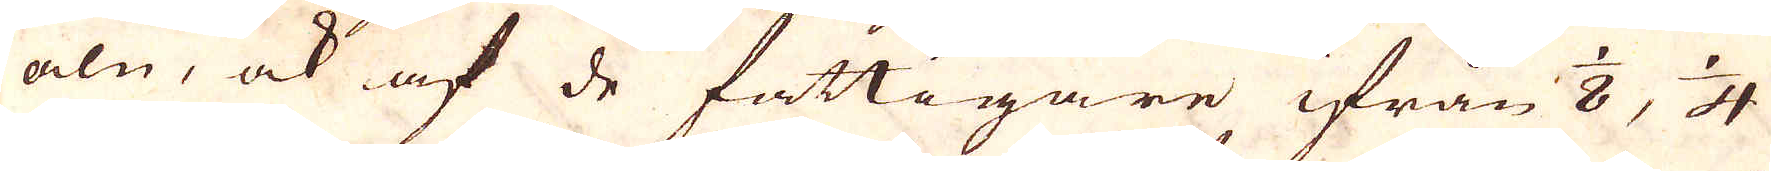aln, ock af de fattigare ifrån 1/8, 1/4
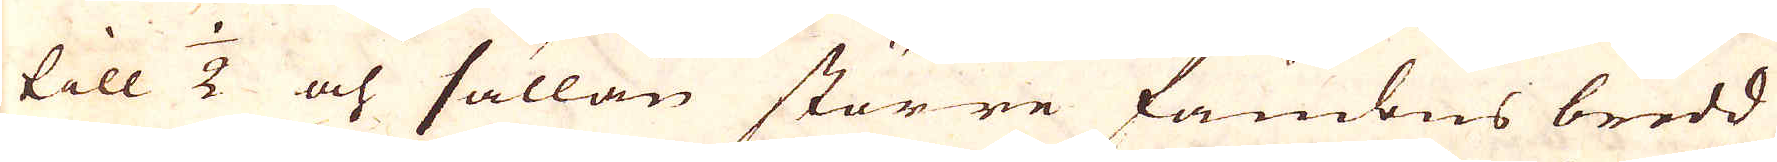till 1/2 och sällan större fambns bredd
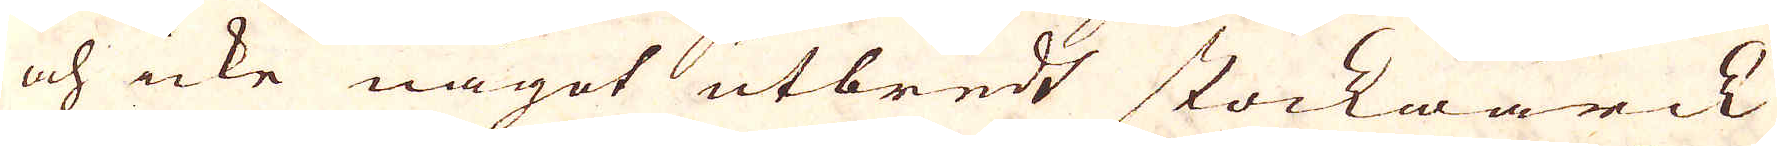och icke något utbredt stockwärck
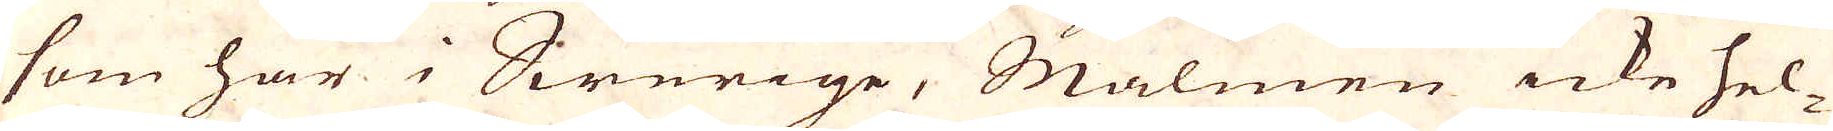som här i Swerige, Malmen icke hel-
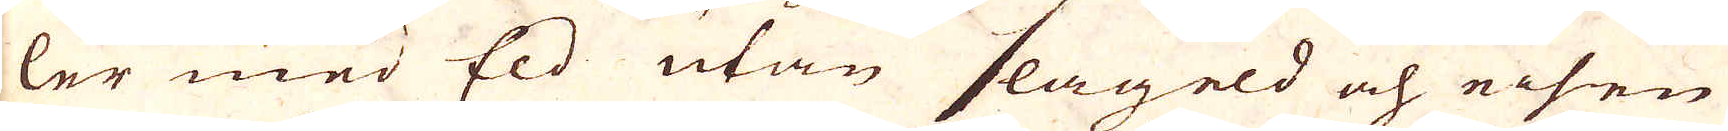ler med Eld utan slageld och eisen
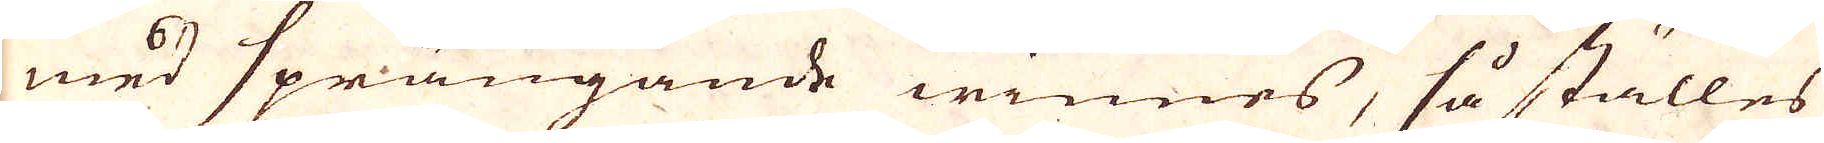med sprängande winnes, så ställes
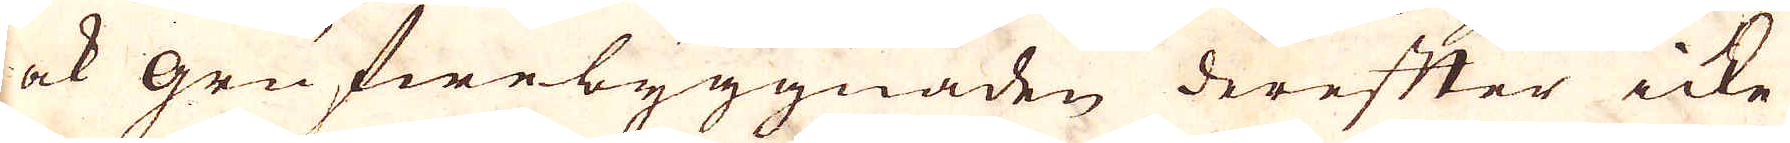ock grufwebyggnaden derefter icke
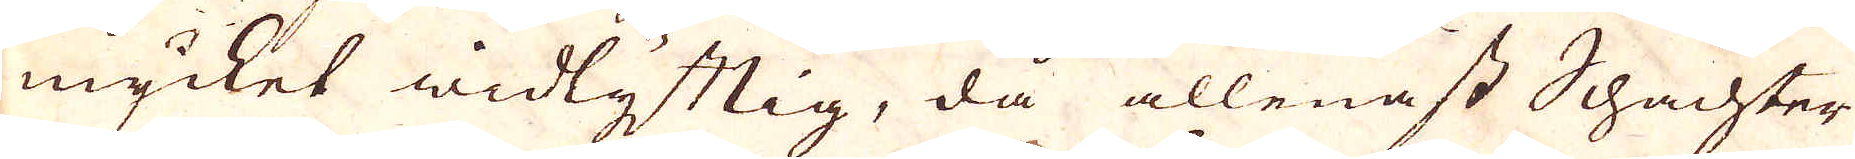mycket widlyftig, då allenast Schachter
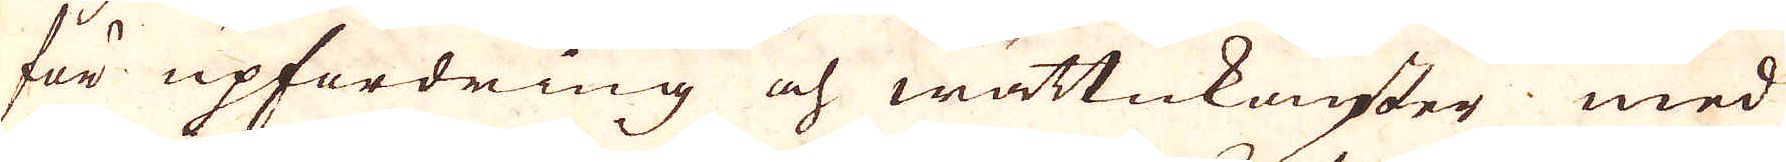för upfordring och wättukonster med
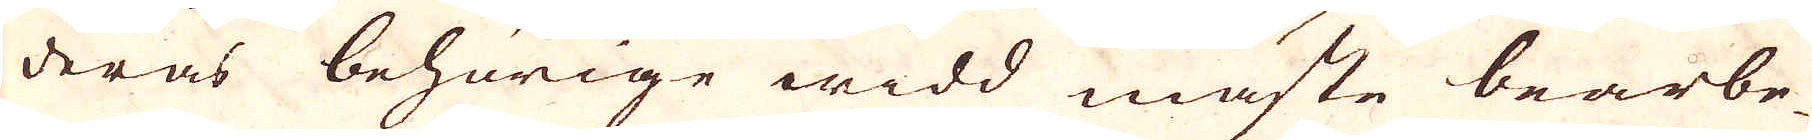deras behörige widd måste bearbe-
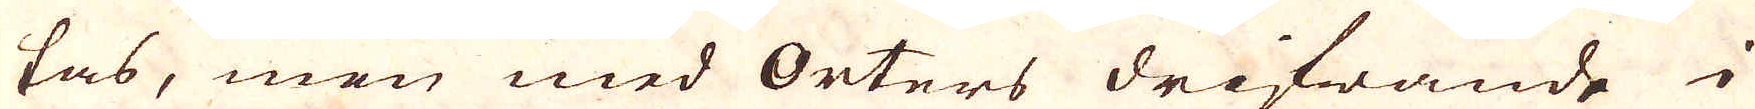tas, men med Orters drifwande i
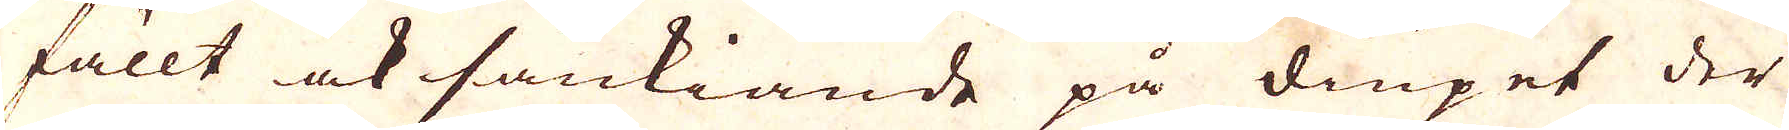fällt ock sänkiande på diupet der
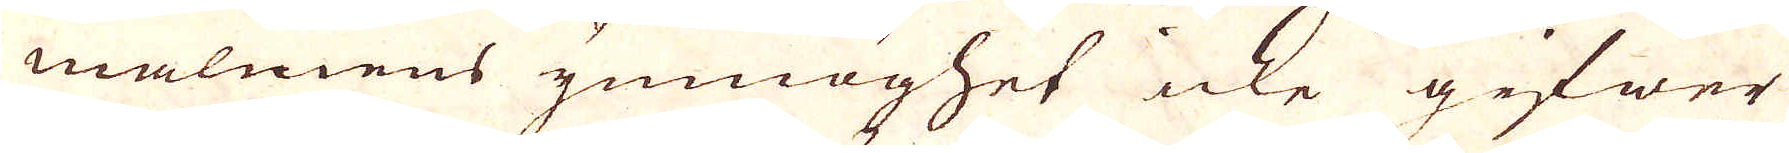malmens ynmöghet icke gifwer
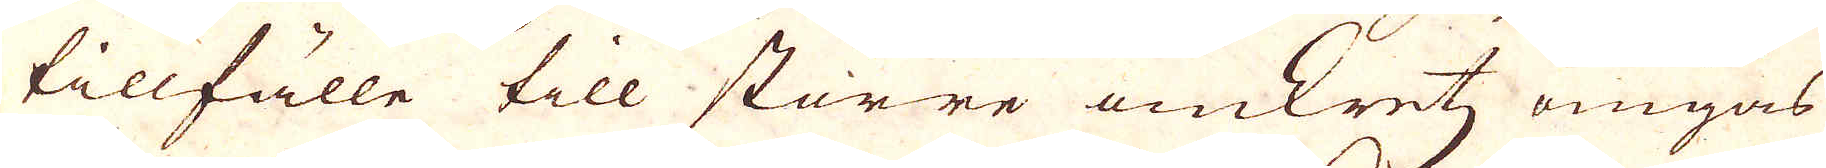tillfälle till större omkrets omgås
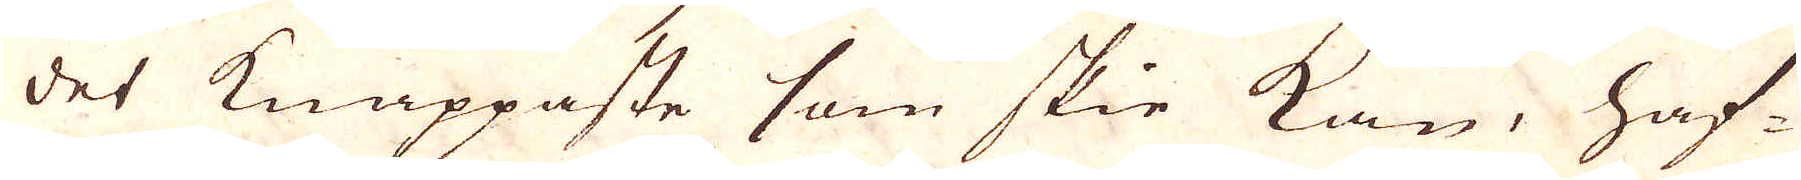det knappaste som skie kan, haf-
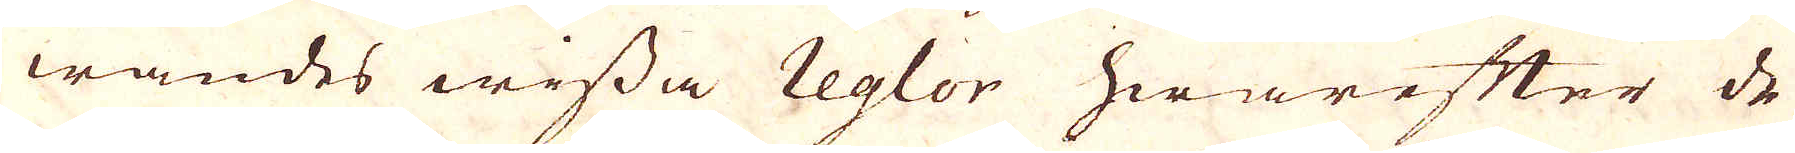wandes wissa reglor hwarefter de
